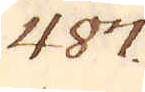487.
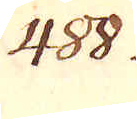488.
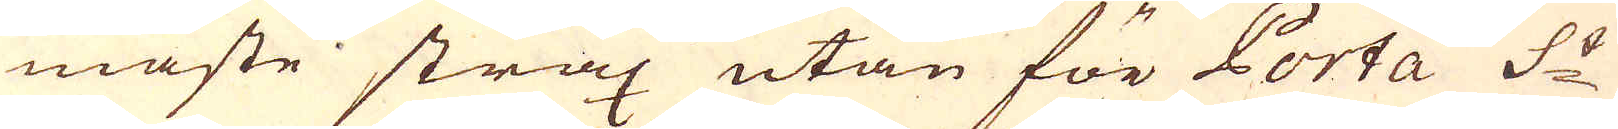maste strax utan för Porta S:t
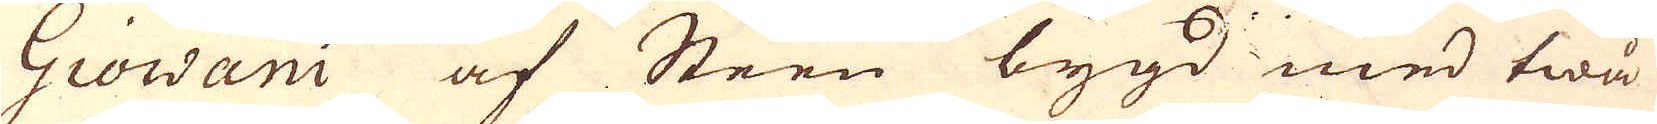Giowani af Steen bygd med twå
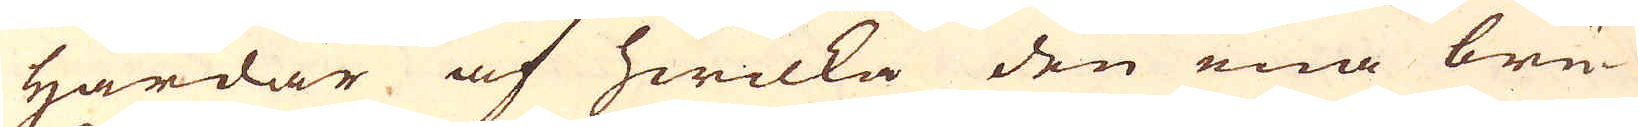Härdar af hwilka den ena bru-
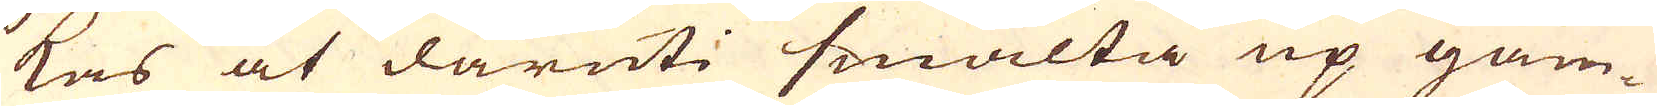kas at däruti smälta up gam-
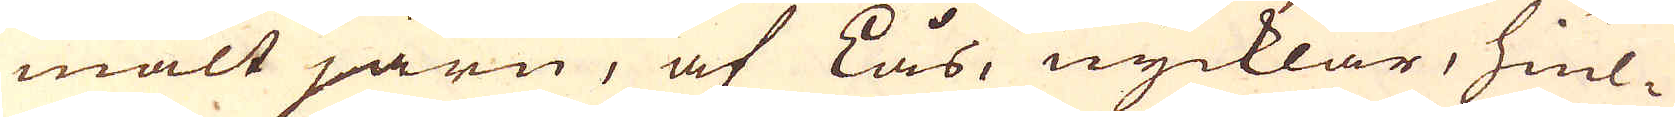malt järn, af Lås, nycklar, hiul-
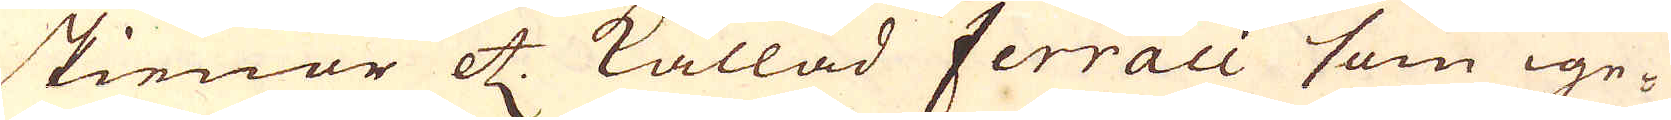skienor etc kallad Ferraci som ige-
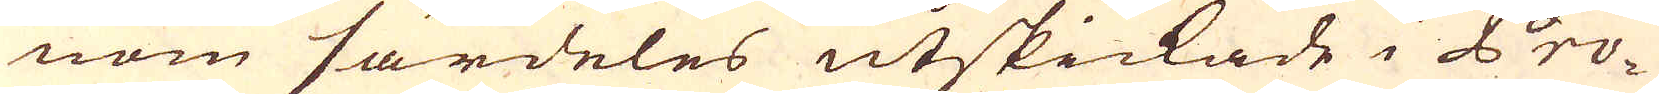nom särdeles utskickade i Pro-
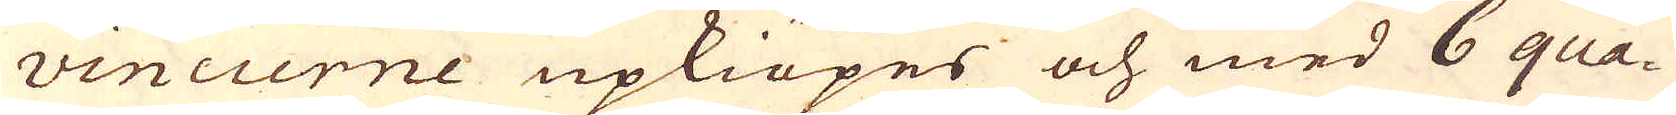vincierne upkiöpes och med 6 qua-
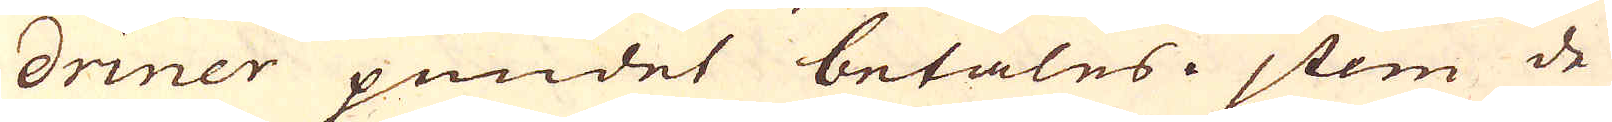driner pundet betales. jtem de
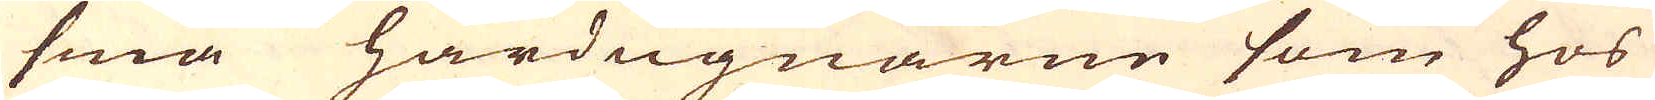små härdugnarne som hos
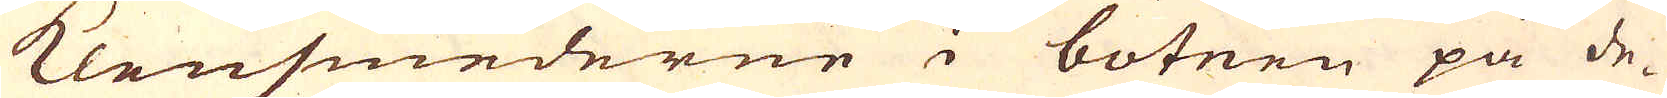klensmederne i botnen på de-
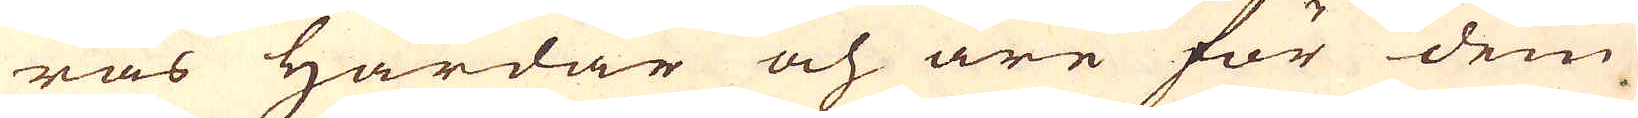ras Härdar och äre för dem
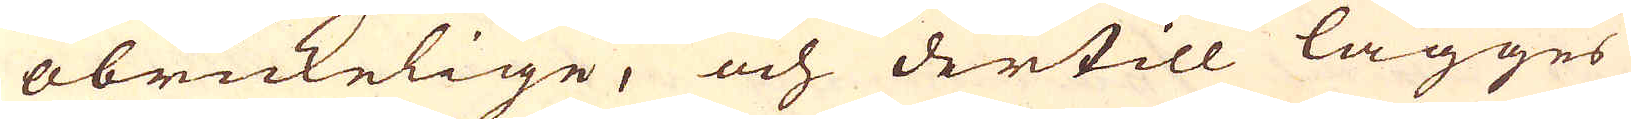obrukelige, och dertill lägges
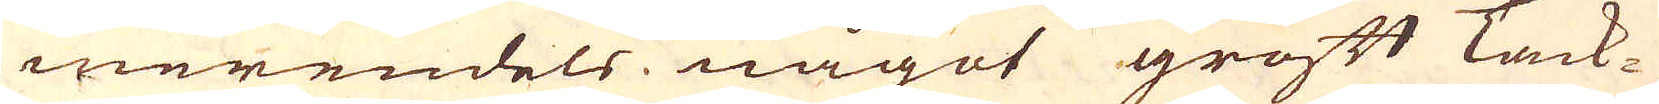merendels något groft Tack-
